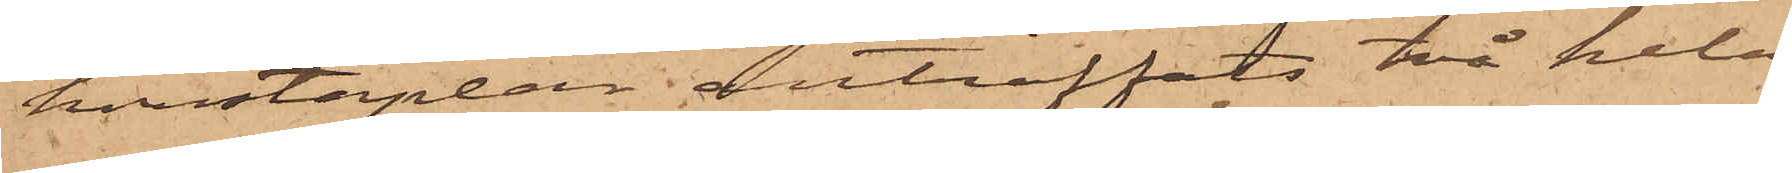konstaplar anträffats två hela
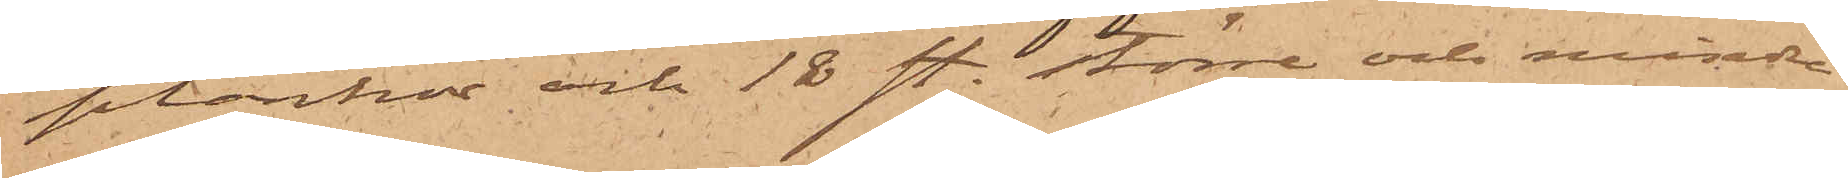plankor och 18 st. större och mindre
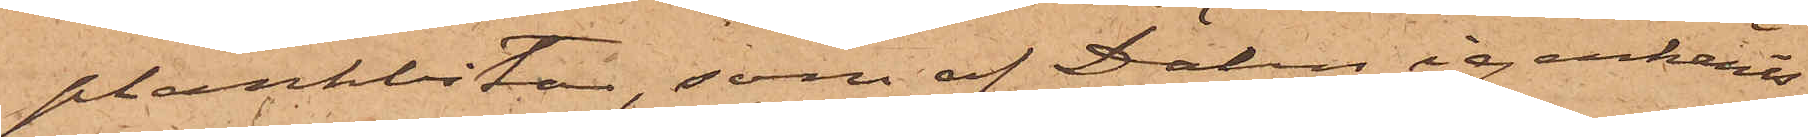plankbitar, som af Dähn igenkänts
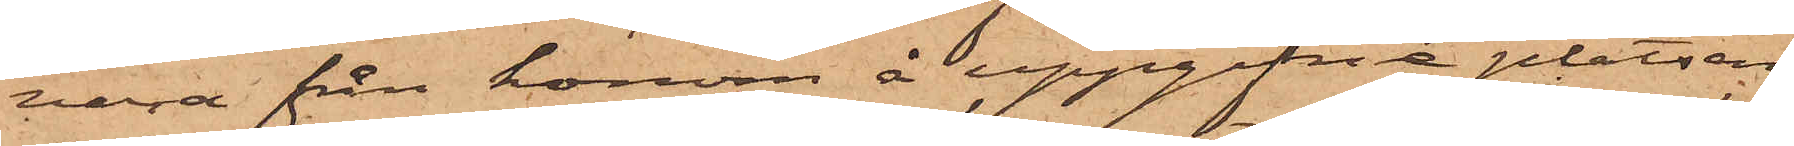vara från honom å uppgifne platsen
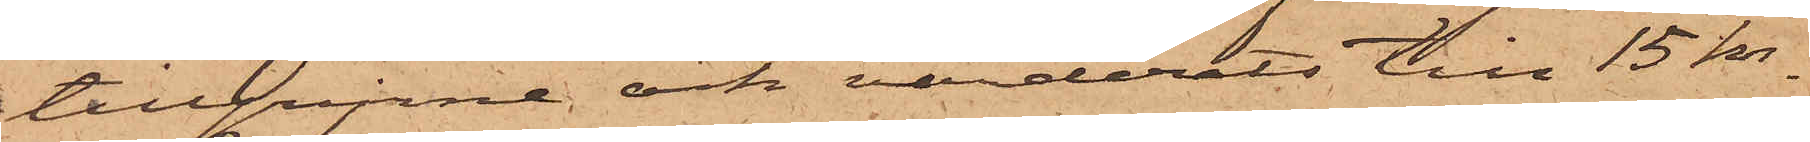tillgripne och värderats till 15 kr.
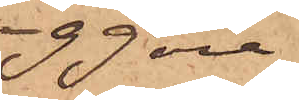99 öre.
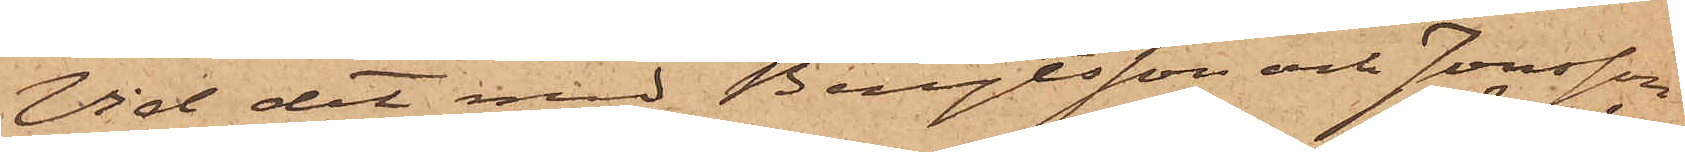Vid det med Bengtsson och Jonsson
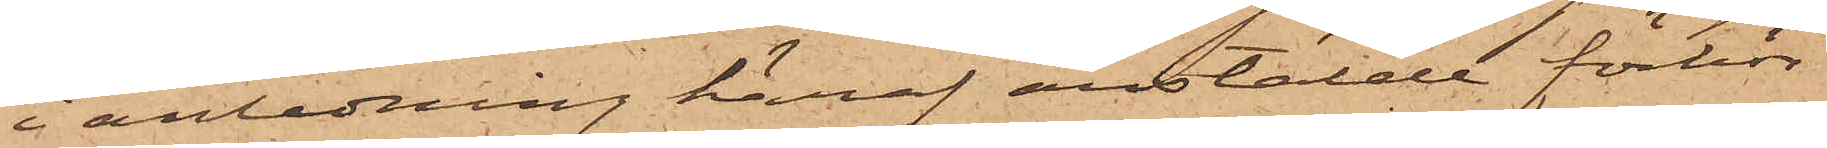i anledning häraf anstälde förhör
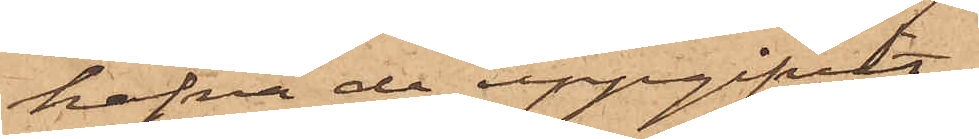hafva de uppgifvit.
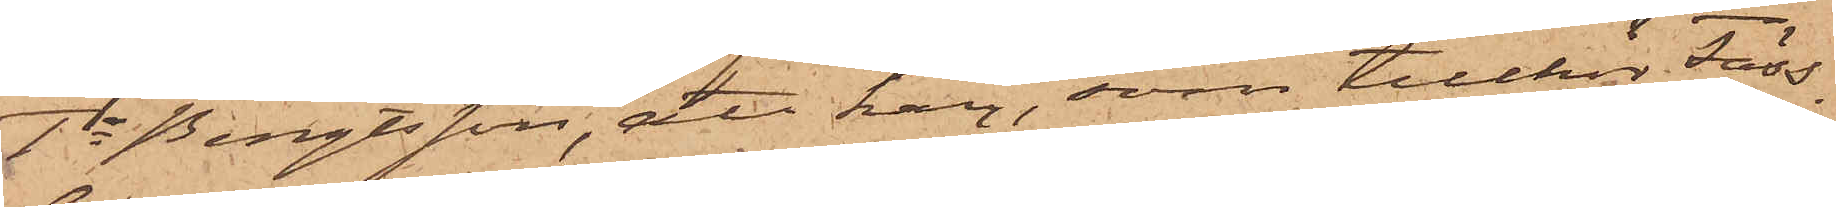1o Bengtsson, att han, som tillhör Fäss¬
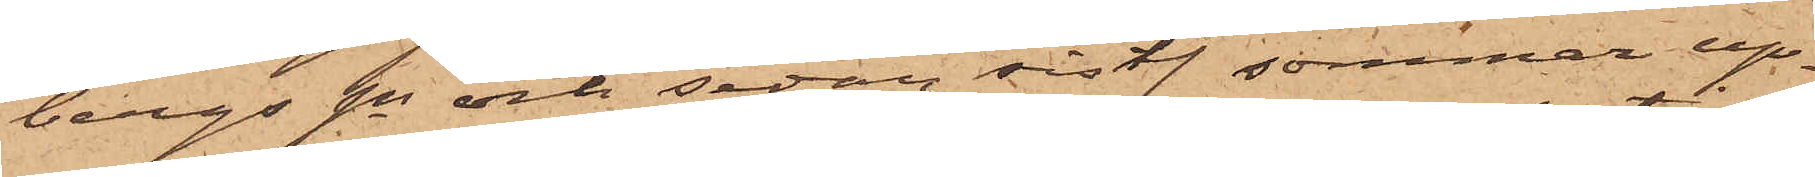bergs sn och sedan sistl. sommar up¬
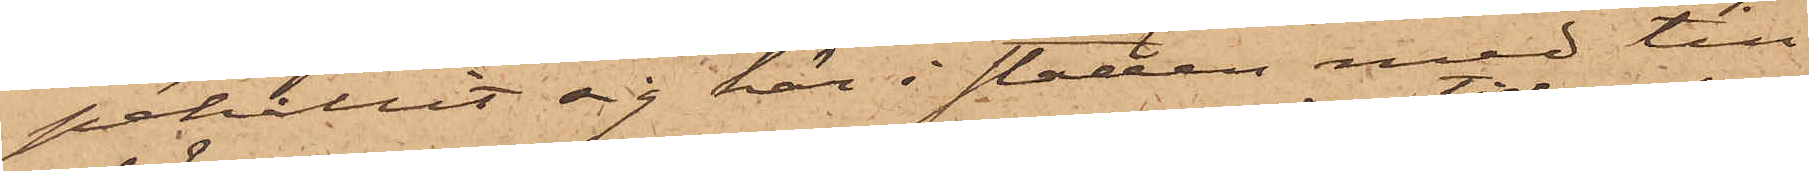pehållit sig här i staden med till¬
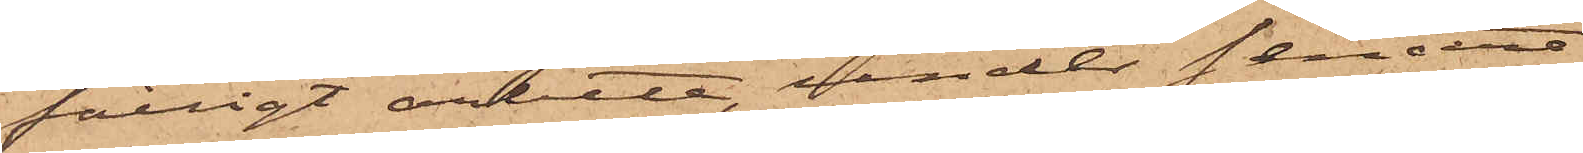fälligt arbete, under sednare
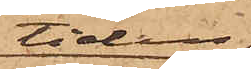tiden
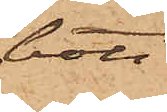bott
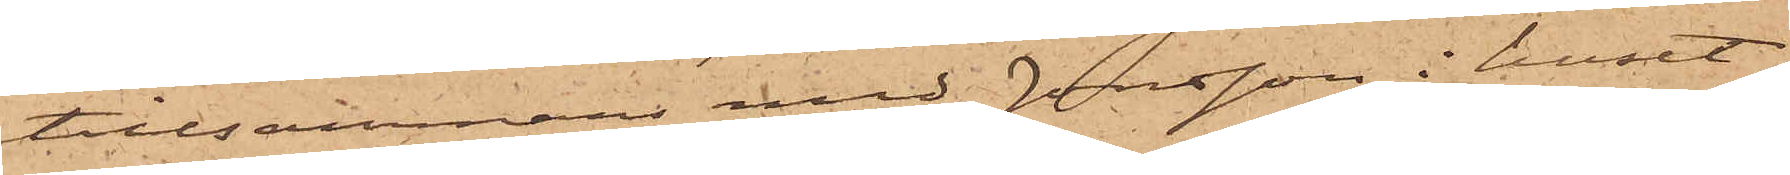tillsammans med Jonsson i huset
